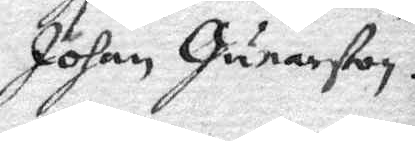Johan Gunarßon.
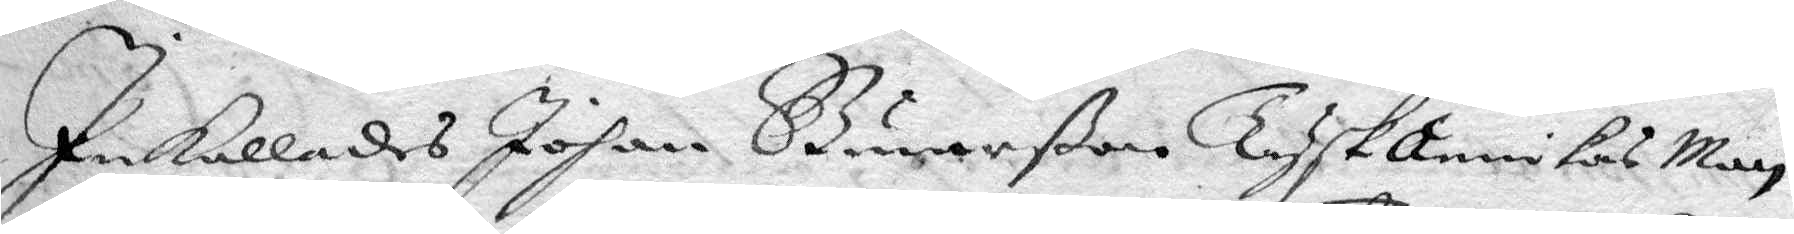Inkallades Johan Gunarßon Tyskannikas Man
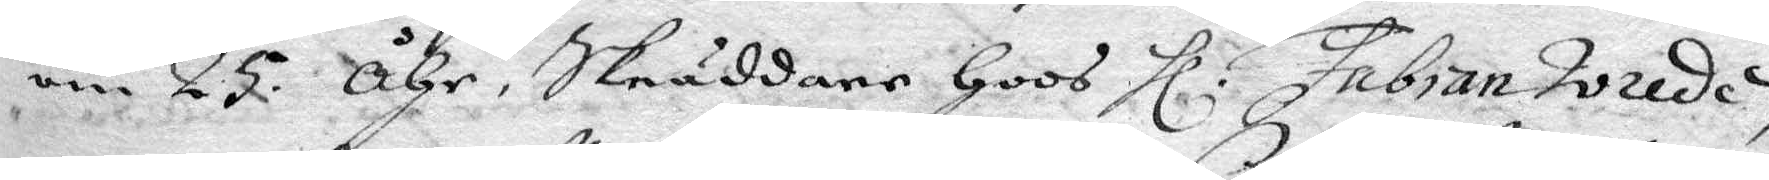om 25 Åhr, Skräddare hoos Hl. Fabian Wrede,
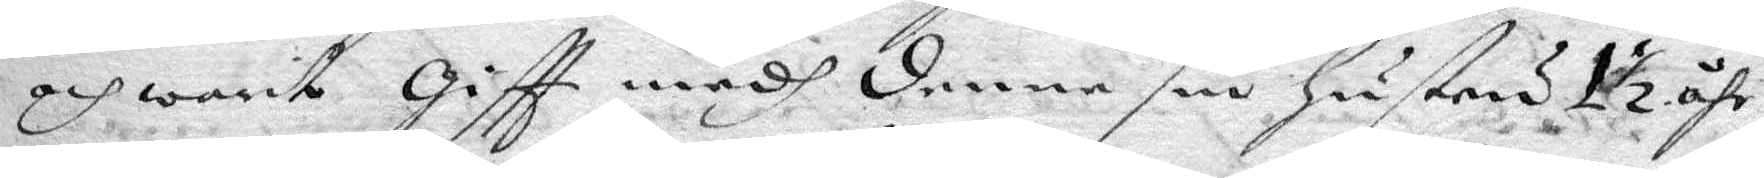och warit giftt medh denne sin hustru 1½ åhr,
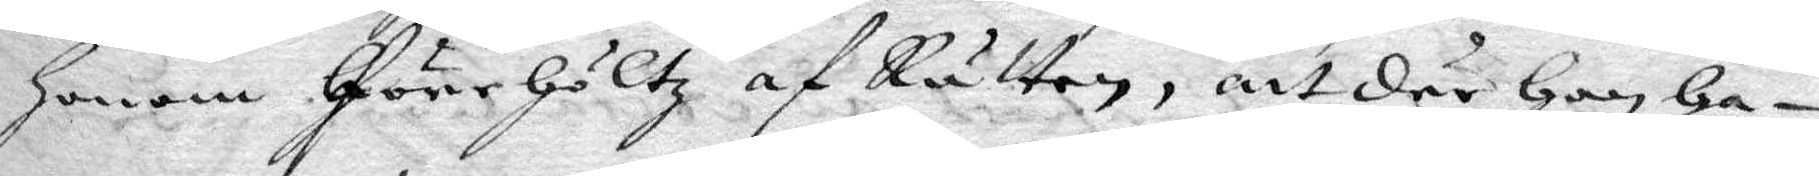honom förehöltz af Rätten, att där han ha¬
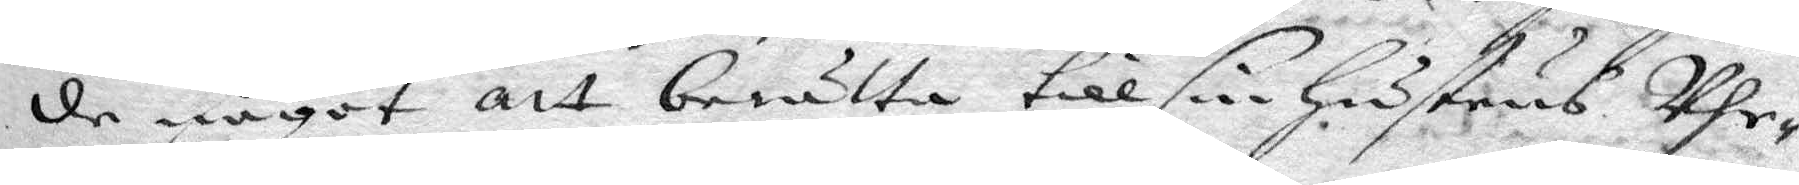de något att berätta till sin hustrus Uhr¬
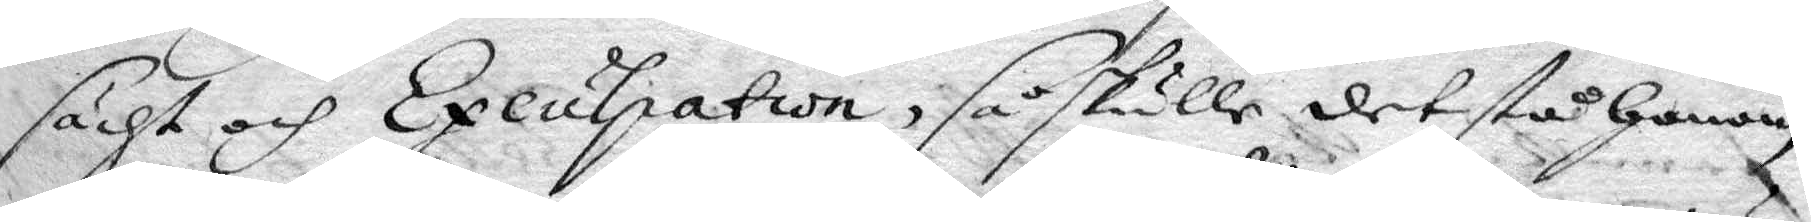sächt och Excutpation, så skulle det stå honom
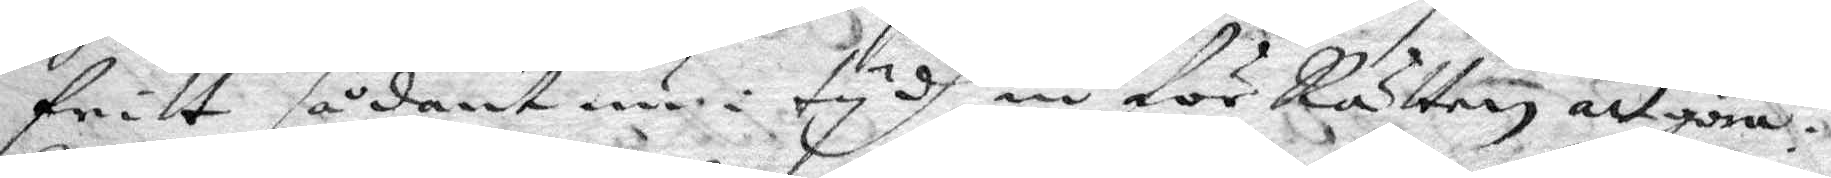fritt sådant nu i tydh in för Rätten att göra:
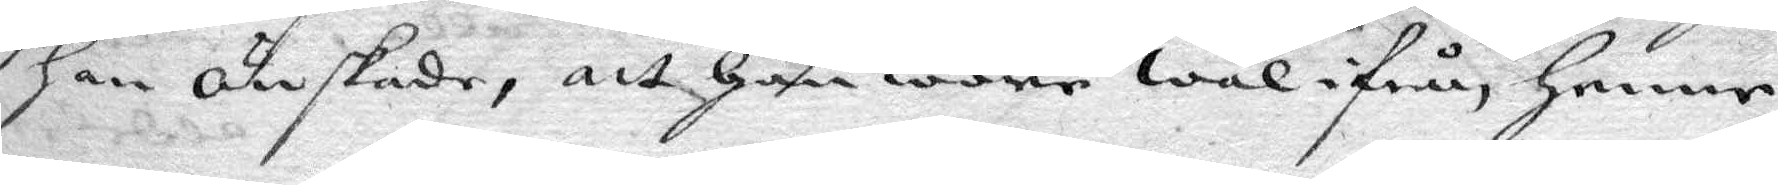han önskade, att han ware wäl ifrån henne
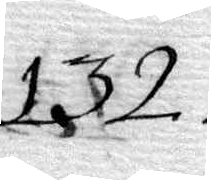132.
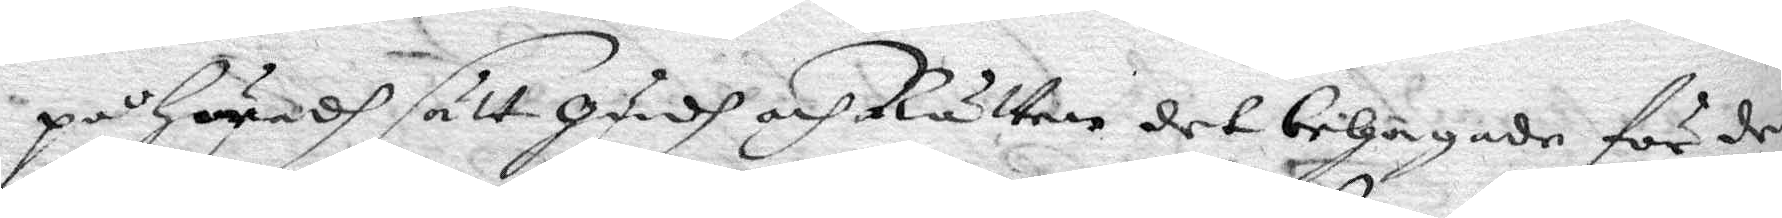på hwadh sätt gudh och Rätten det behagade för den
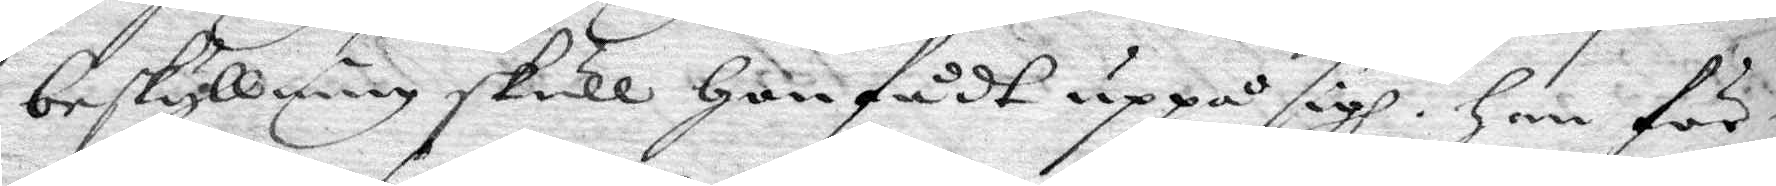beskyllning skull hon fådt uppå sigh. han för¬
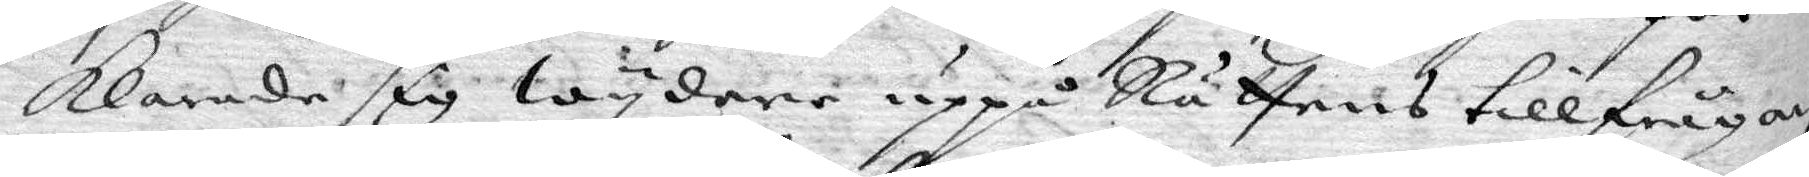klarade sig wydare uppå Rättens tillfrågan,
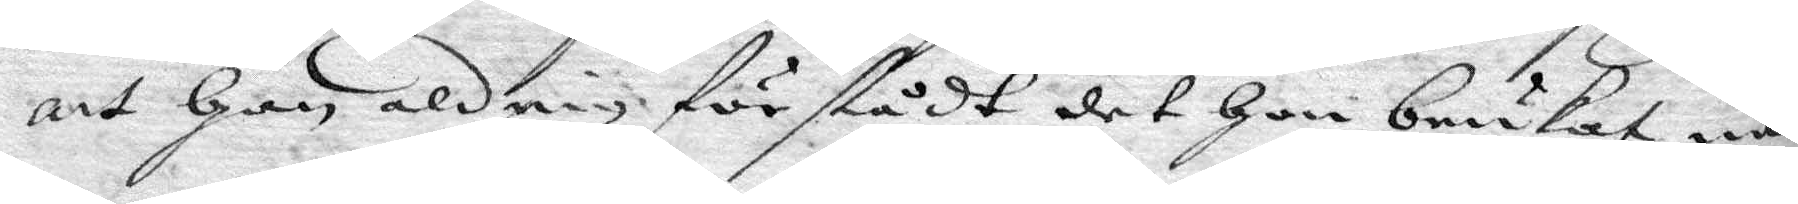att han aldrig förstådt det hon brukat nå¬
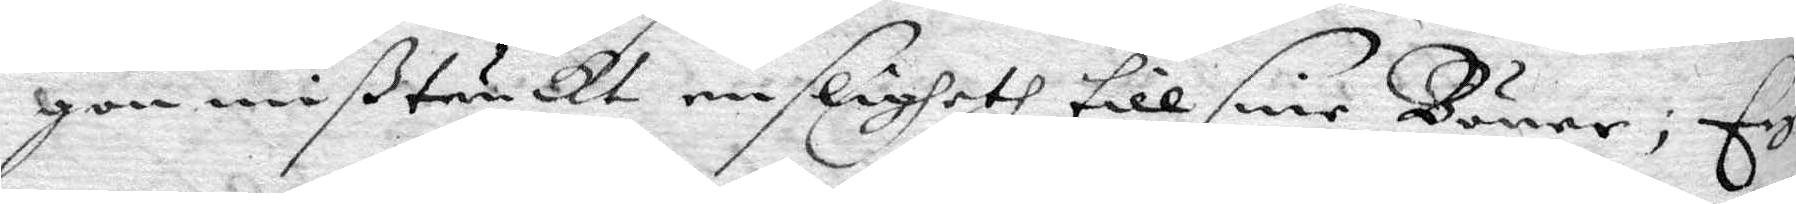gon mißtänckt ensligheth till sine Böner; Ey
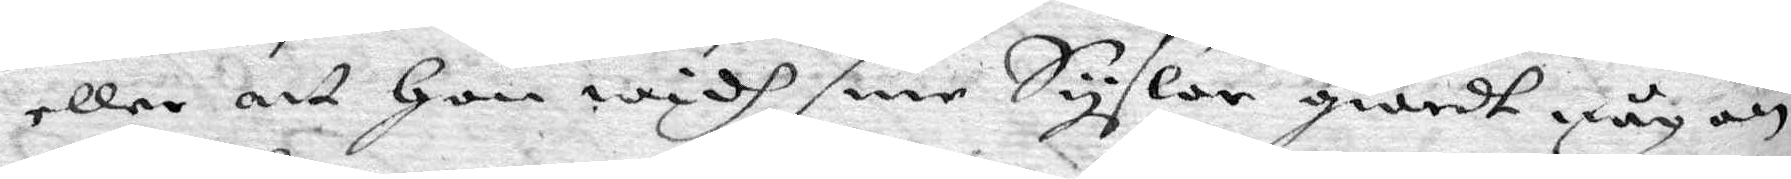eller att hon widh sine Sysslor giordt någon
